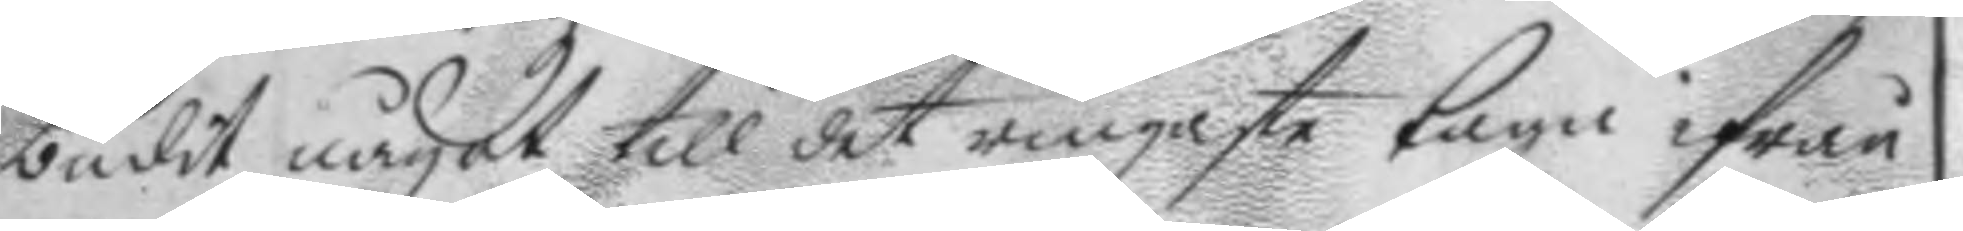budit något till det ringaste taga ifrån
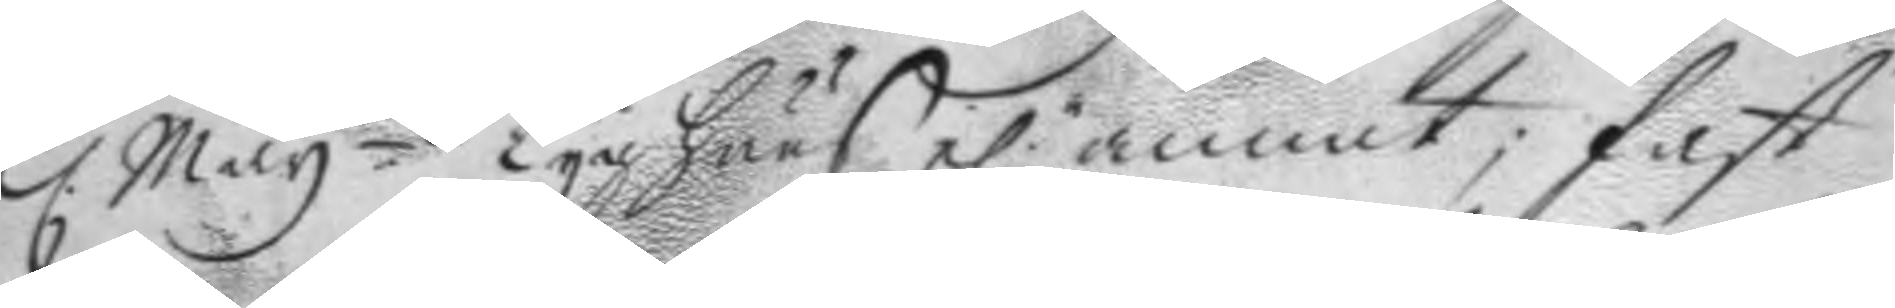Kl. May.ttz Tyghuus el.r annat; fast
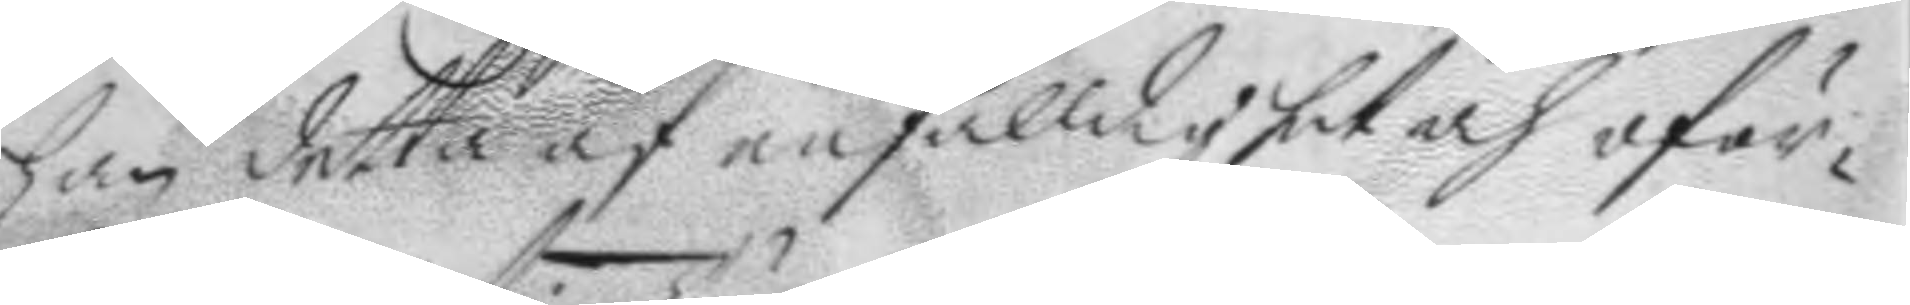han detta af enfalldighet och oför¬
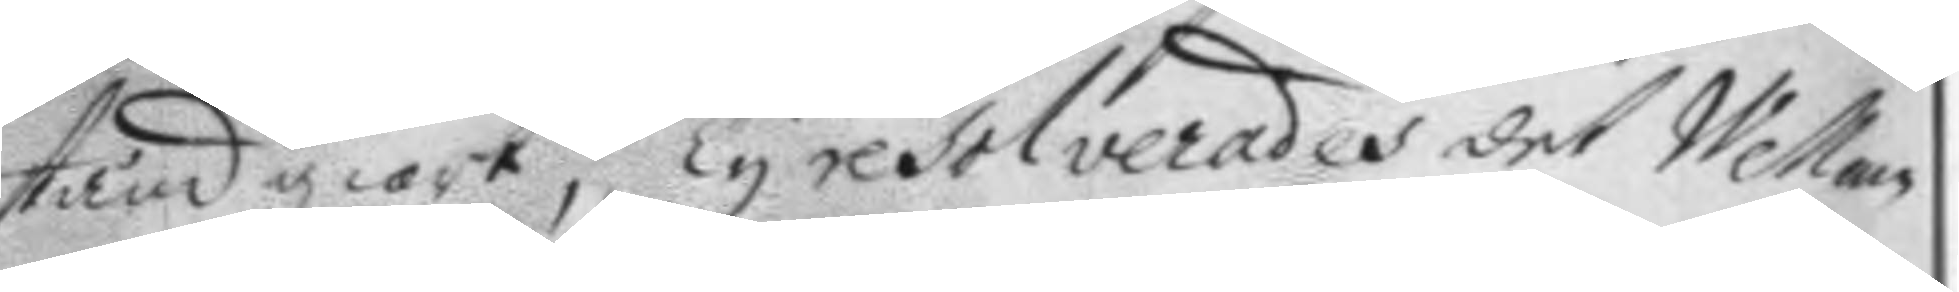stånd giort; ty resolverades det Wellam
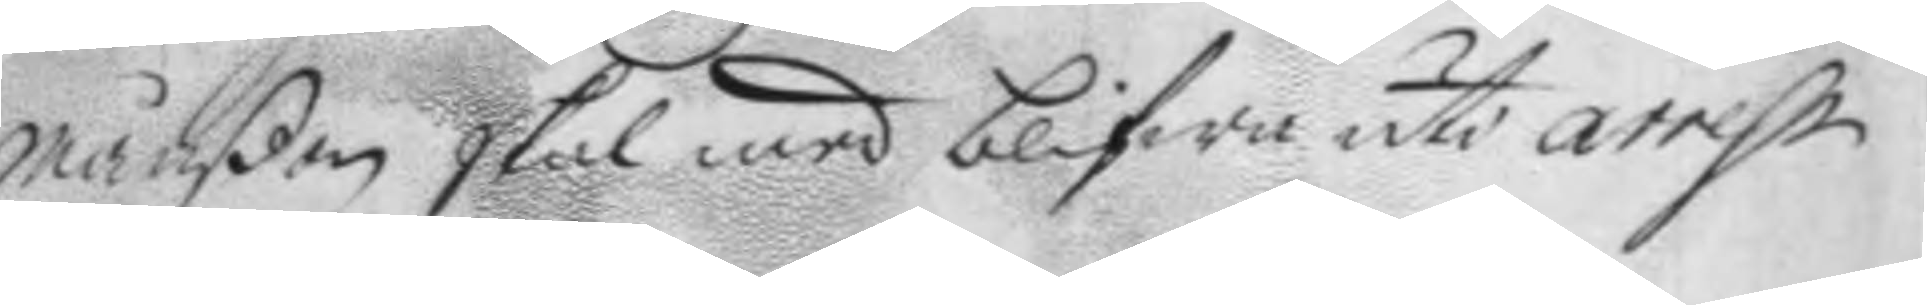Månßon skal mws blifwa uti arrest
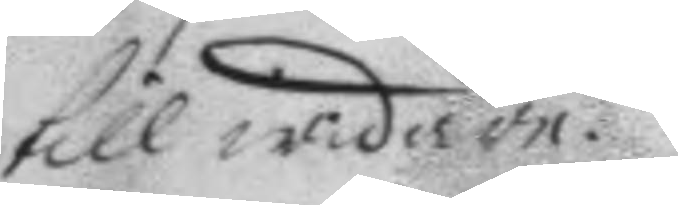till widare.
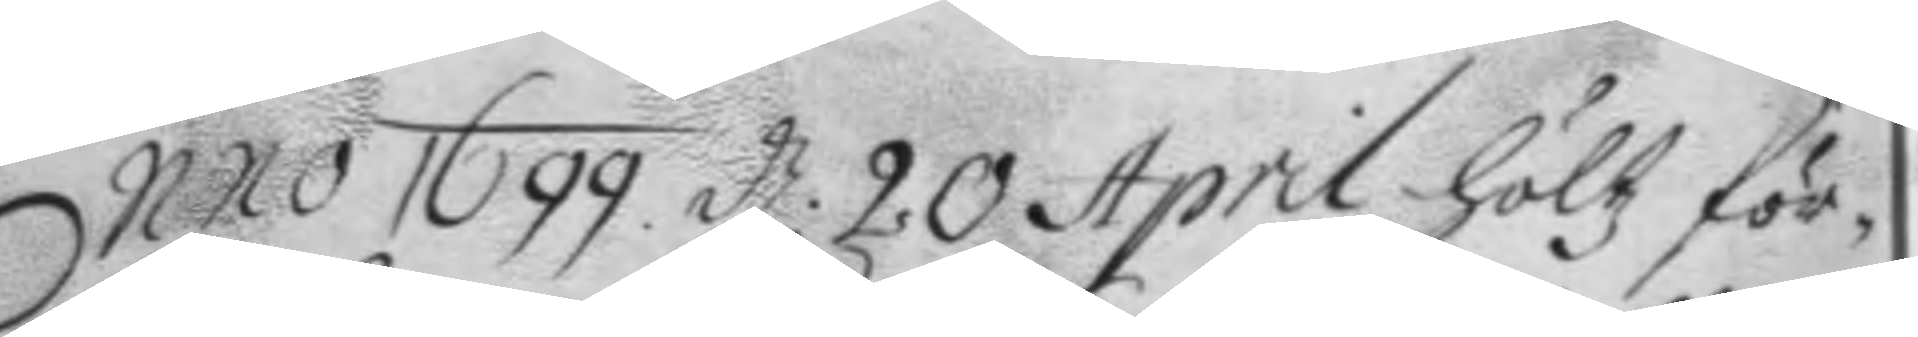Anno 1699. d: 20 April höltz för¬
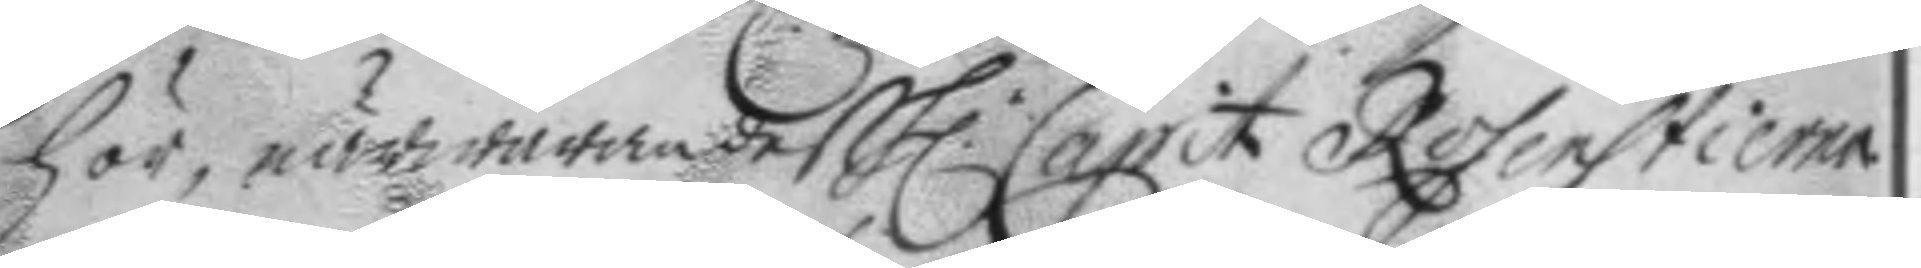hör, närwarandes h.r Capit Rosenstierna.
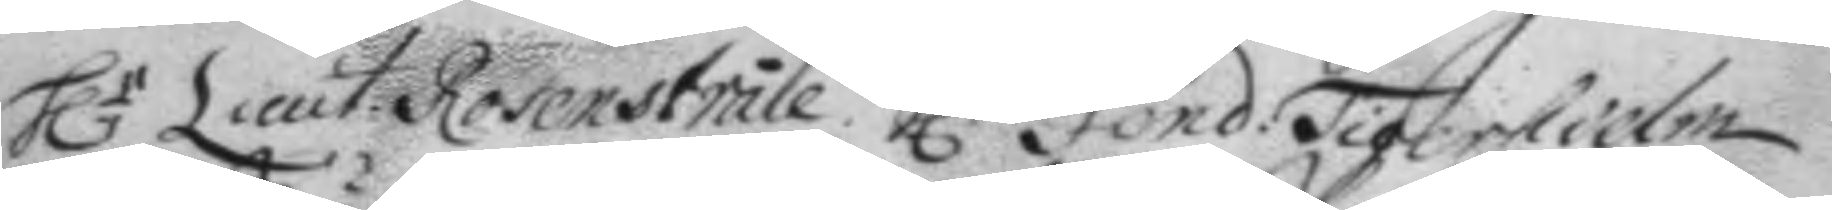h.r Lieut. Rosenstråle. h.r Fond: Tigerhielm
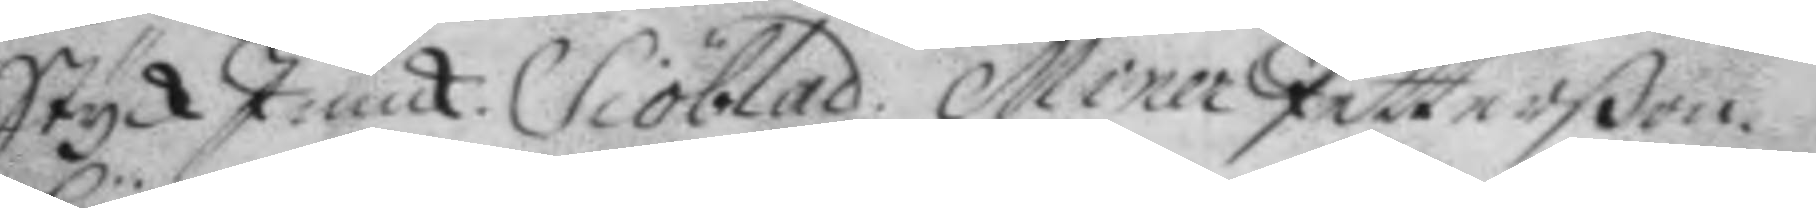StyckJunck. Siöblad. Miner Petterßon.
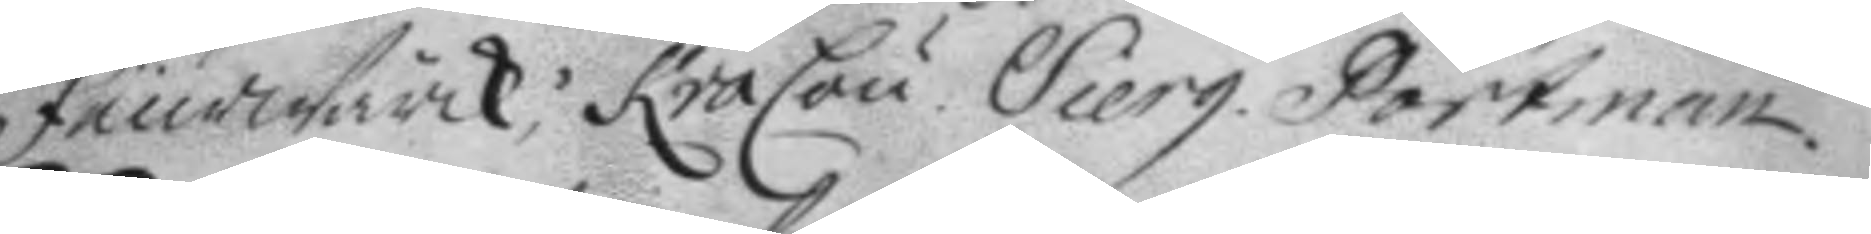Feurwärck; KraCau. Sierg. Portman.
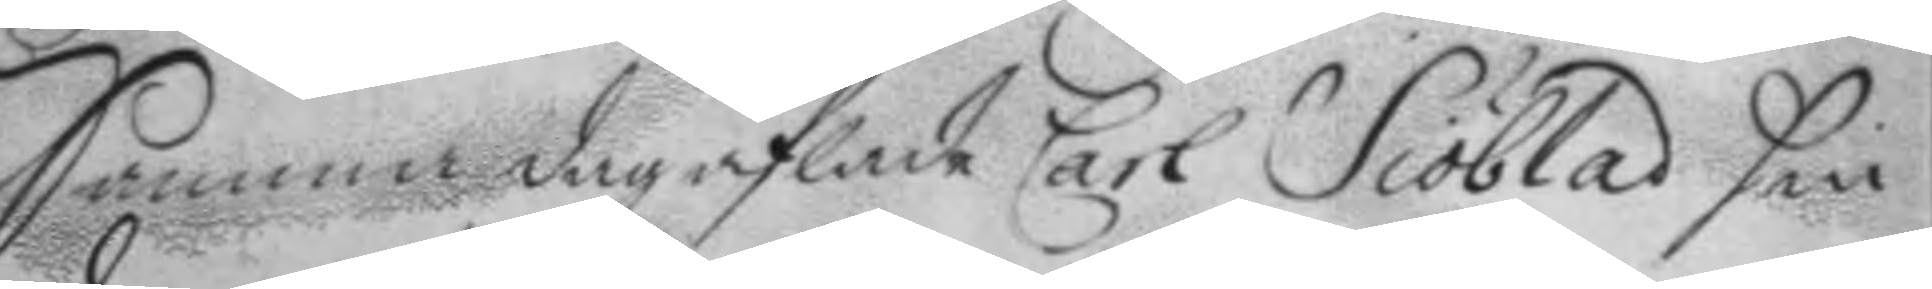Samma dag aflade Carl Siöblad sin
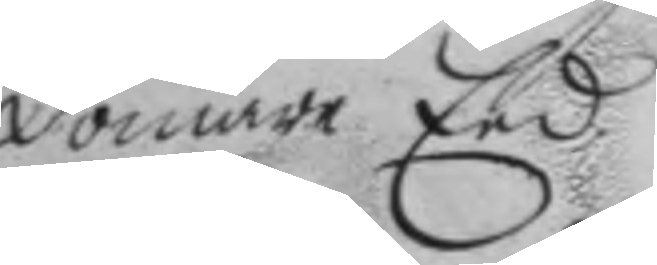domare Eed.
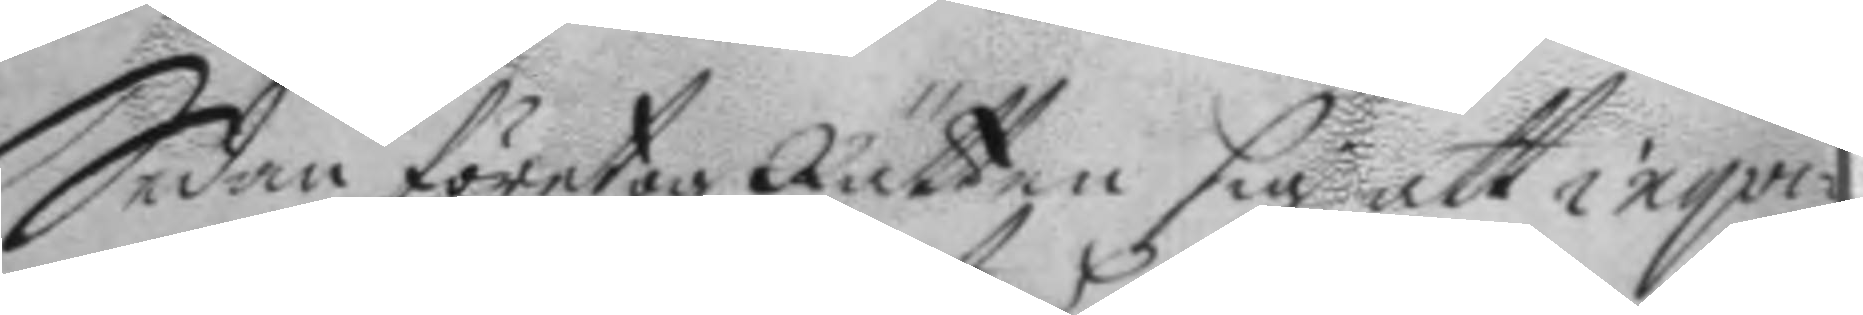Sedan företog Rätten sig att inqvi¬
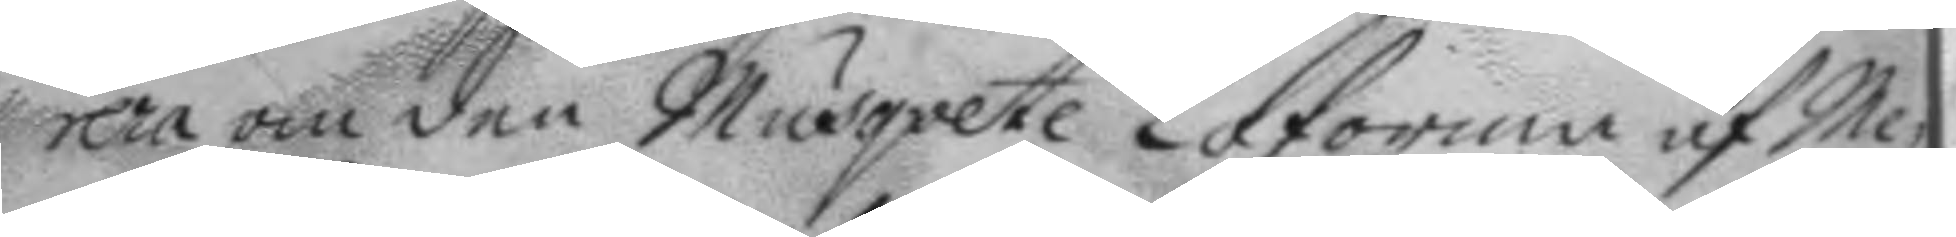rera om den Musqvete Loforma af Me¬
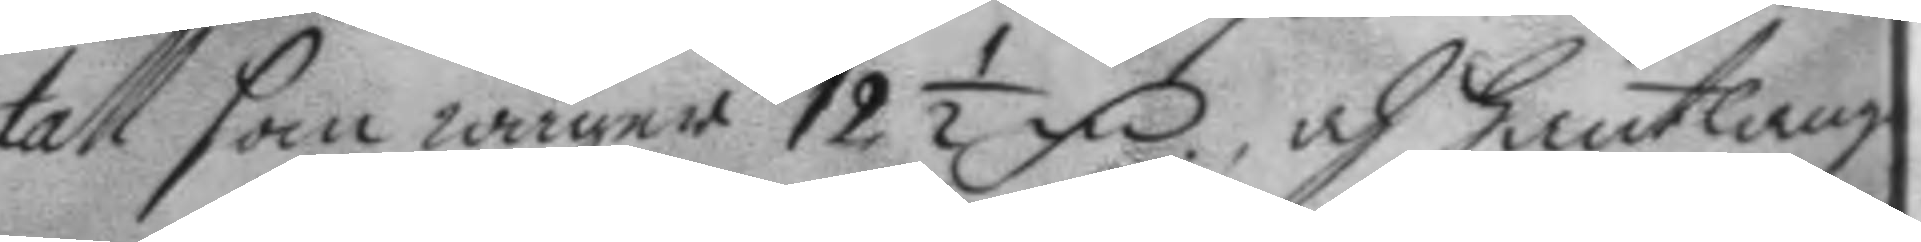tall som wäger 12 ½ fm, och hantlang¬
